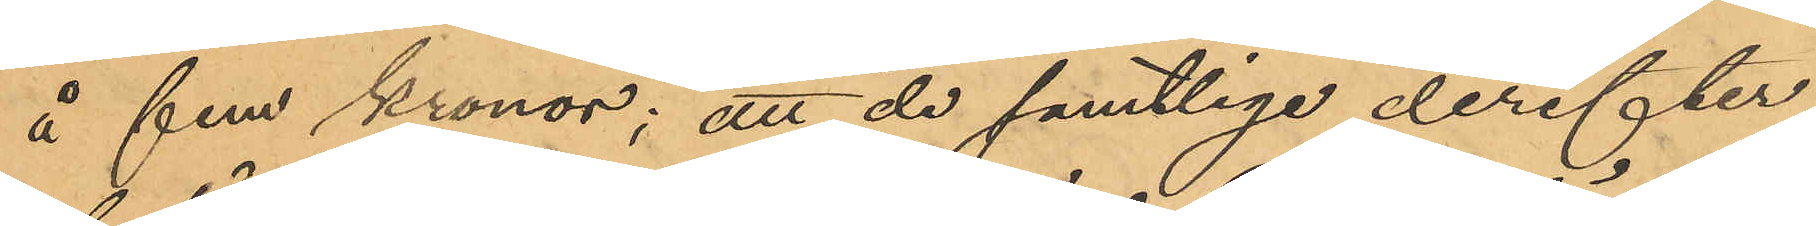å fem kronor; att de samtlige derefter
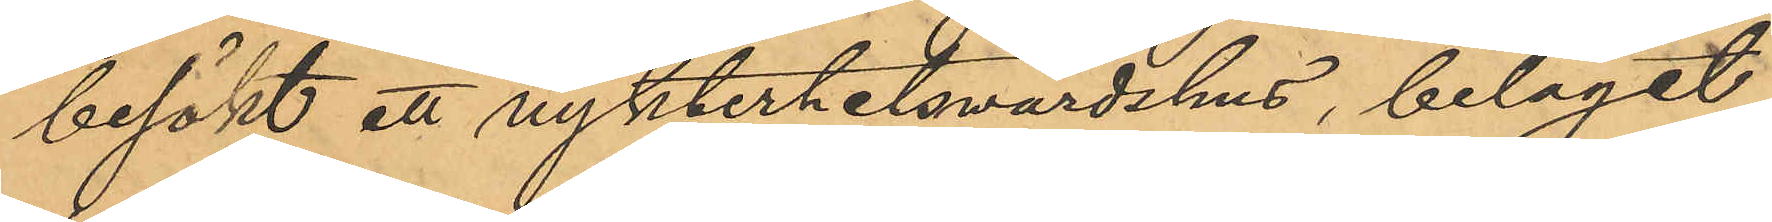besökt ett nykterhetsvärdshus, beläget
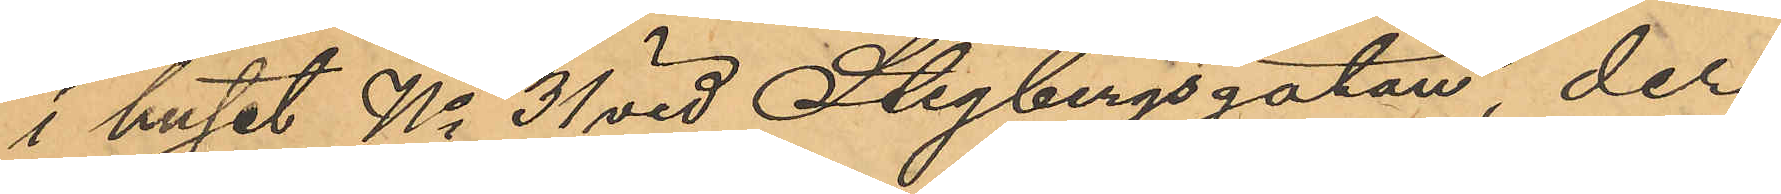i huset No 31 vid Stigbergsgatan, der
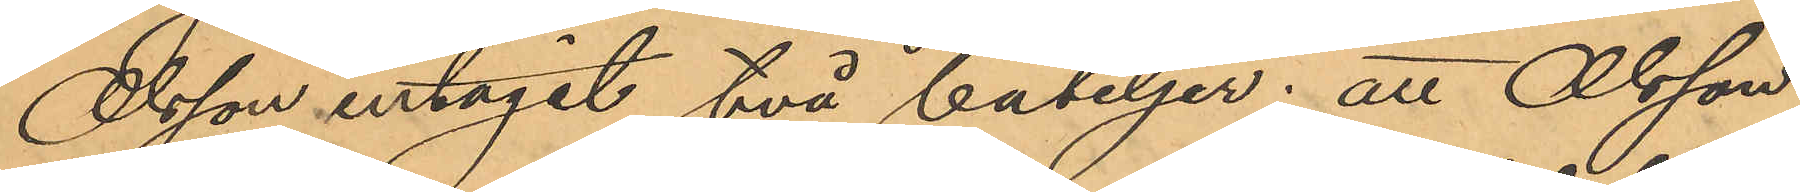Olsson intagit två buteljer; att Olsson
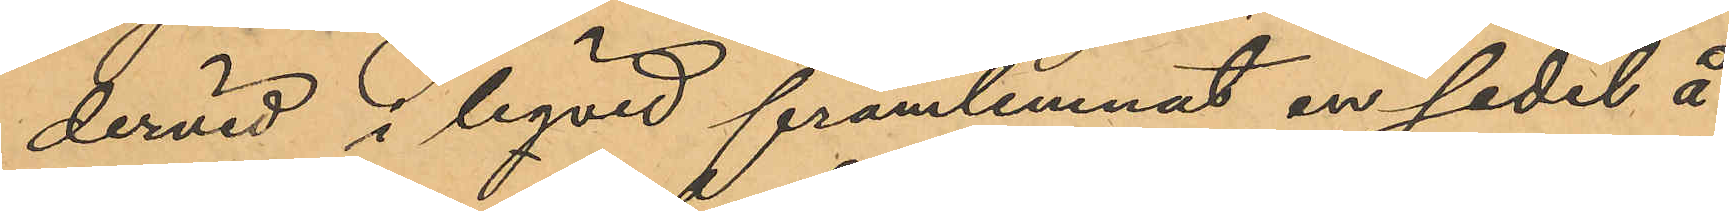dervid i liqvid framlemnat en sedel å
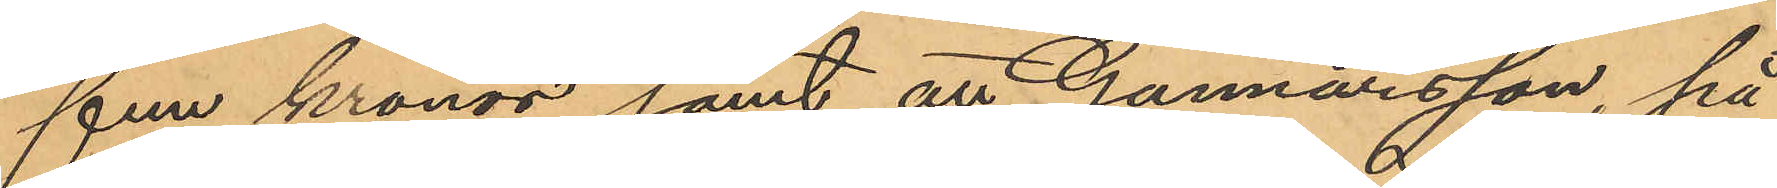fem kronor samt att Gunnarsson, på
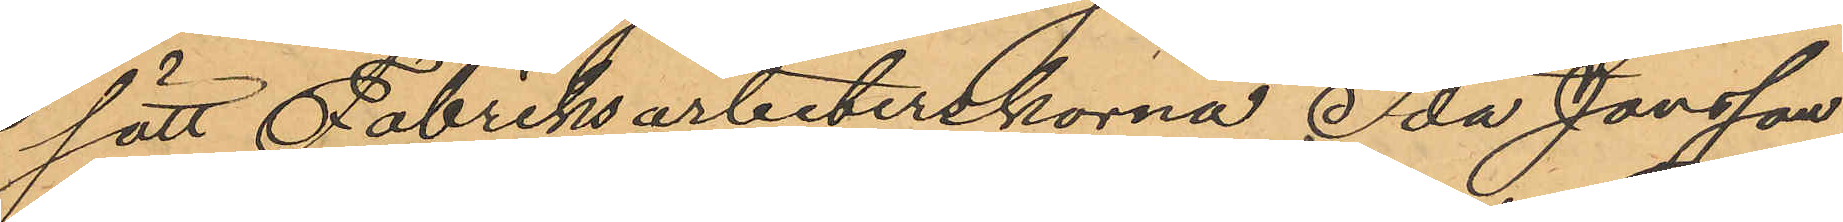sätt Fabriksarbeterskorna Ida Jonsson,
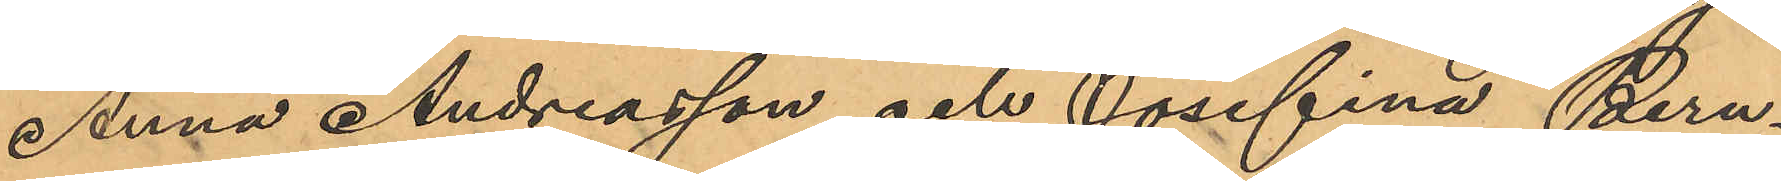Anna Andreasson och Josefina Bern¬
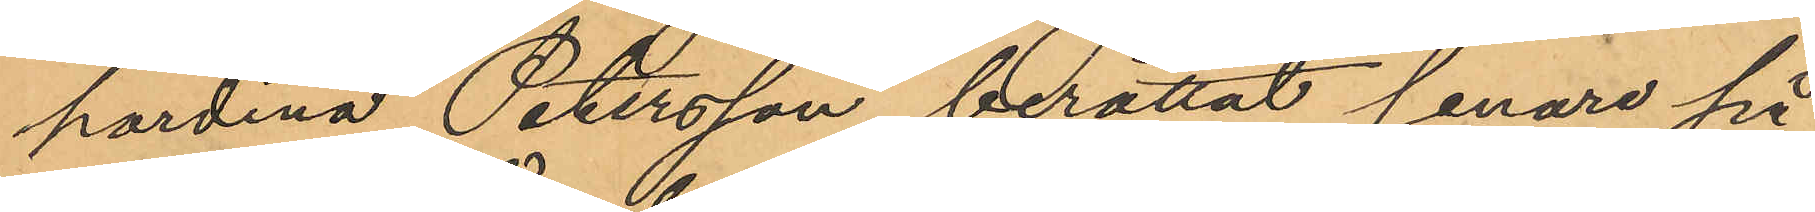hardina Petersson, berättat senare på
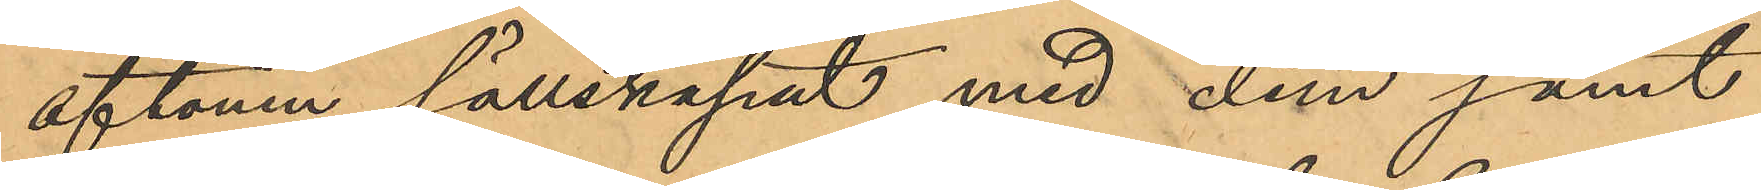aftonen sällskapat med dem samt
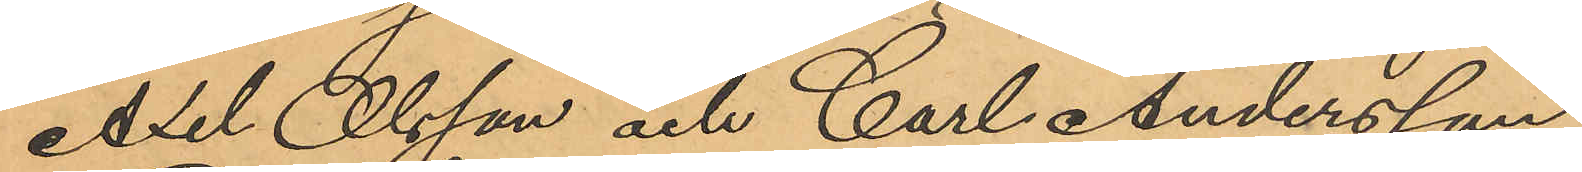Axel Olsson och Carl Andersson.
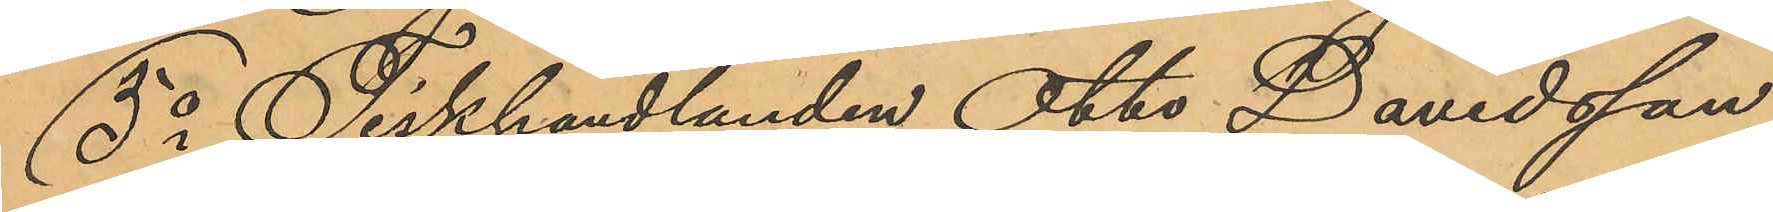5o Fiskhandlanden Otto Davidsson,
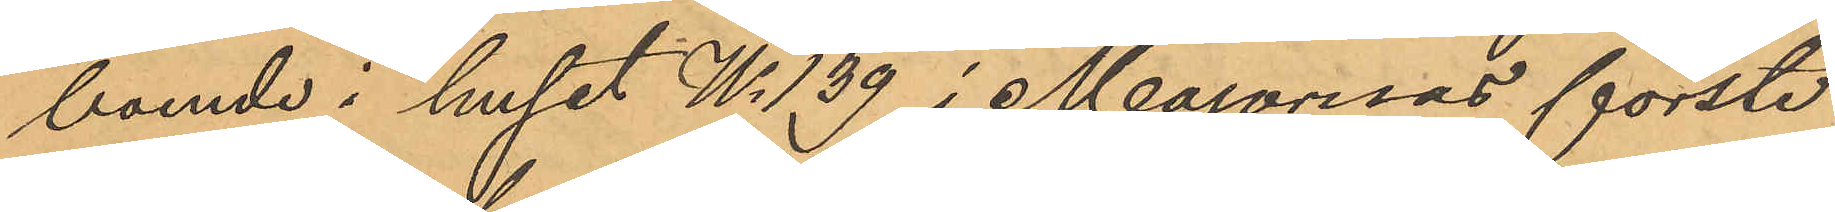boende i huset No 139 i Majornas förste
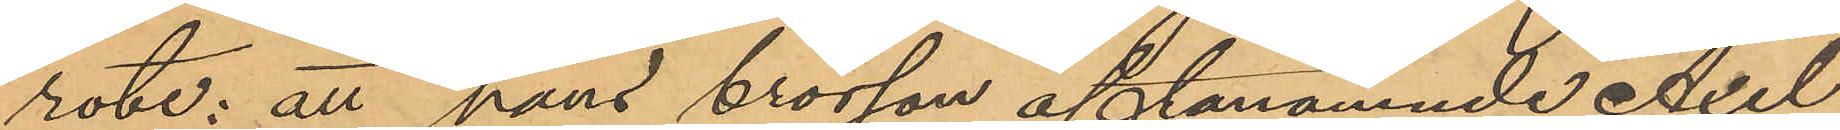rote: att hans brorson oftanämnde Axel
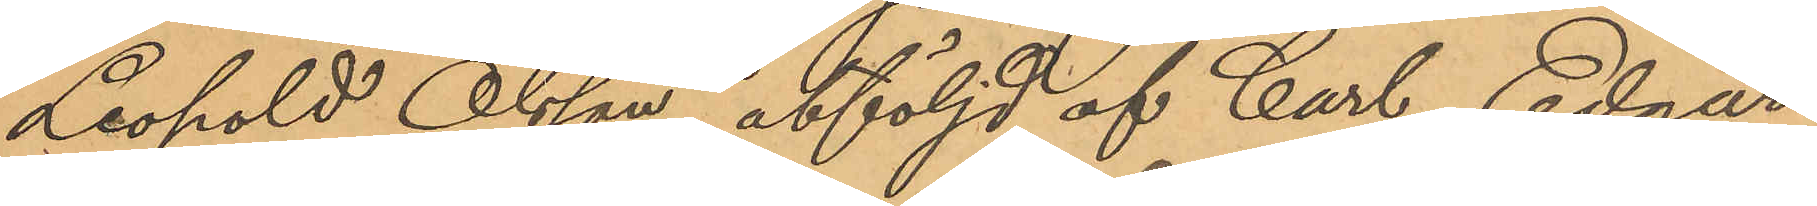Leopold Olsson, åtföljd af Carl Edgar
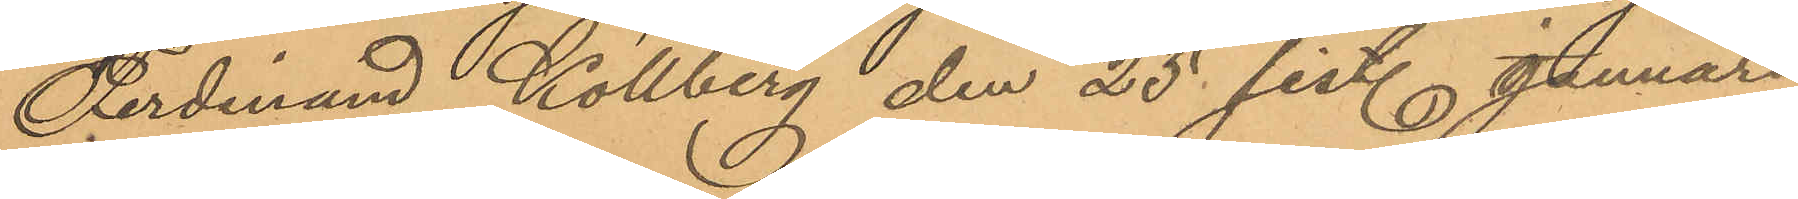Ferdinand Kollberg den 25 sist. Januari
